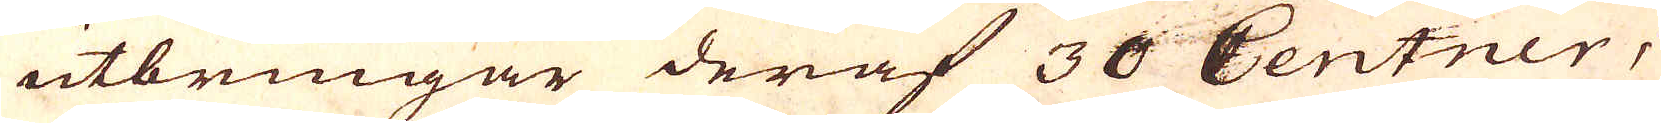utbringar deraf 30 Centner,
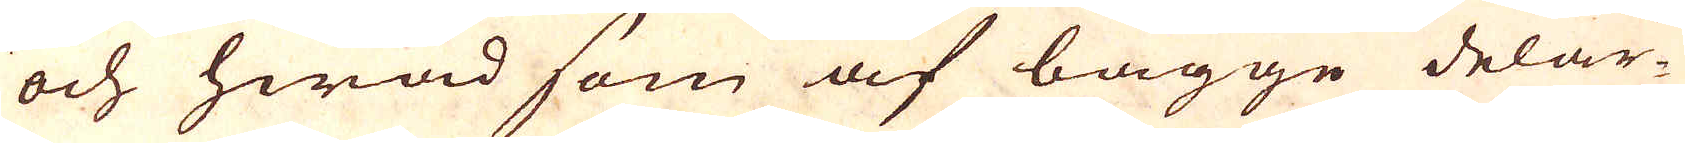och hwad som af bägge delar-
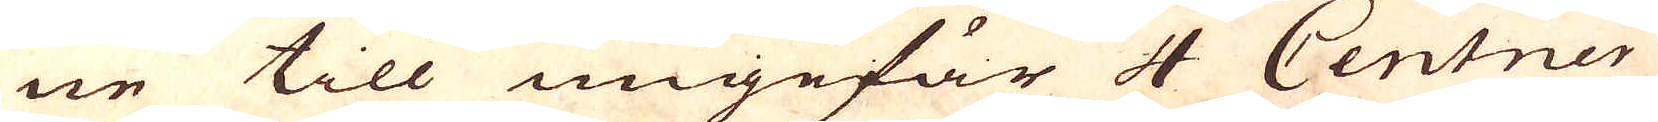ne till ungefär 4 Centner
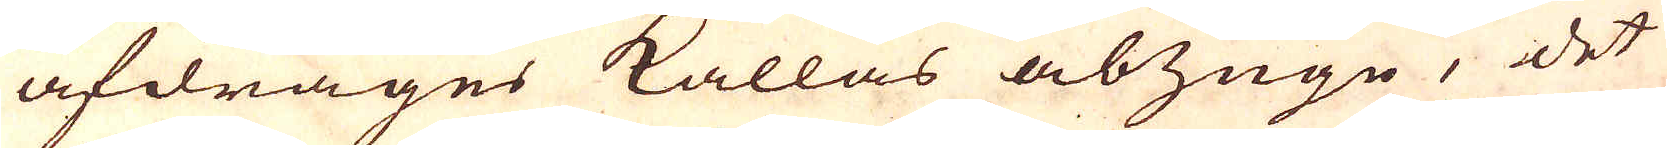afdrages kallas abzuge, det
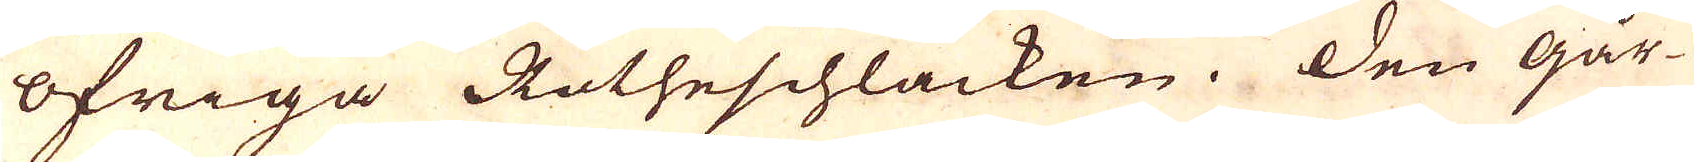öfriga Rotheschlacken. Den går-
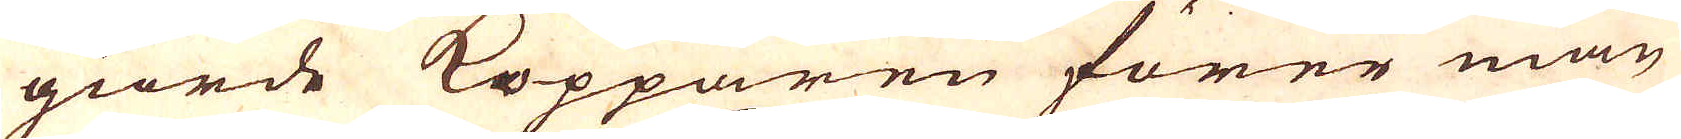giorde Kopparen förer man
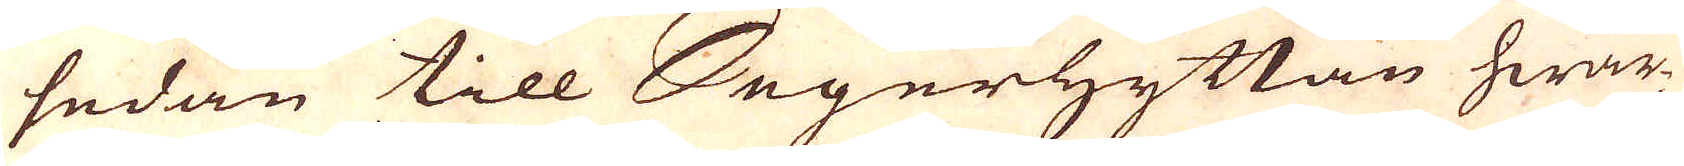sedan till Segerhyttan hwar-
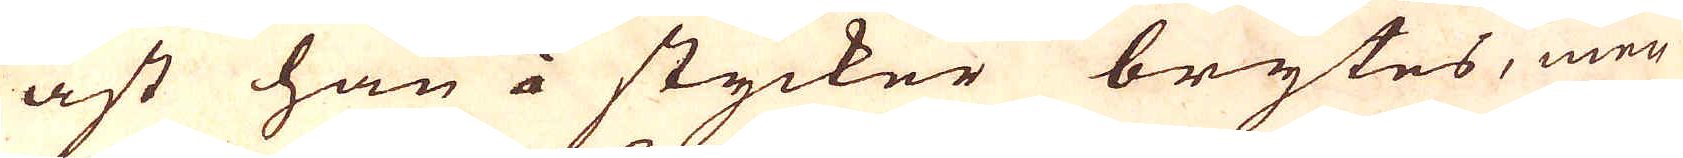äst han i stycker brytes, men
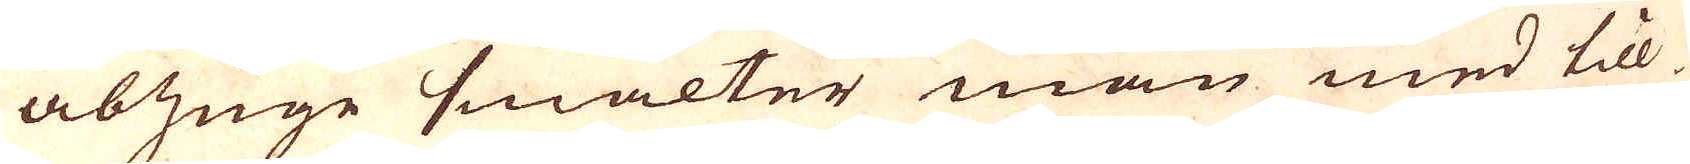abzuge smälter man med till-
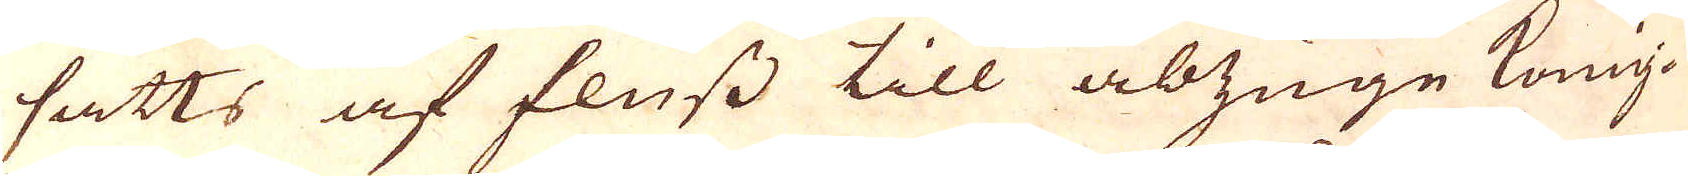satts af fluss till abzuge König-
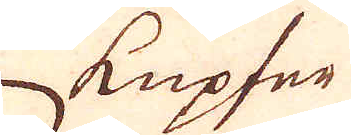Kupfer
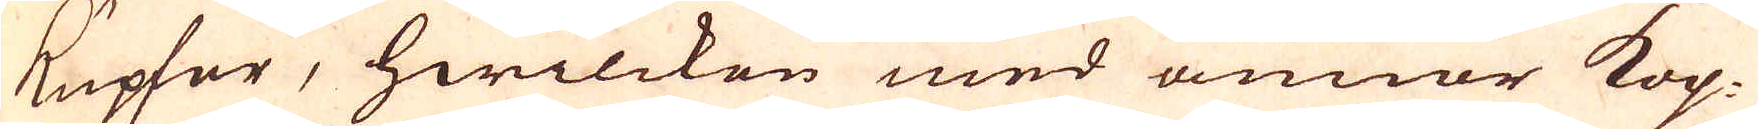Kupfer, hwilcken med annor kop-
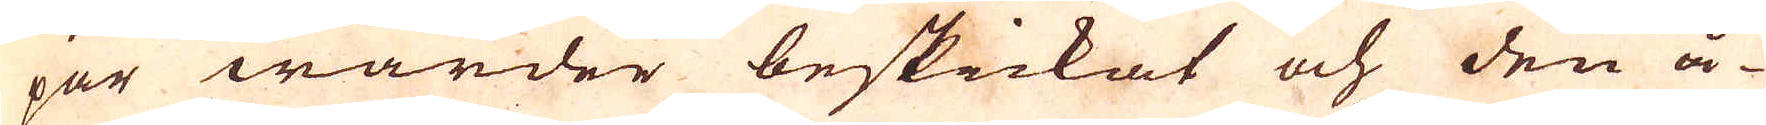par warder beskickat och den å-
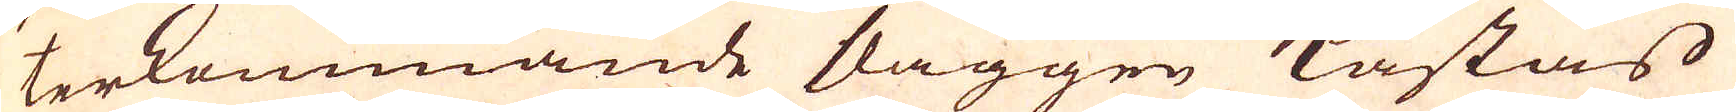terkommande slaggen kastas
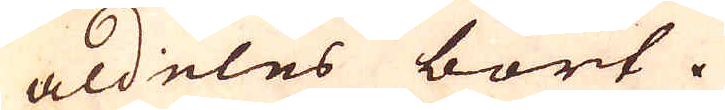aldeles bort.
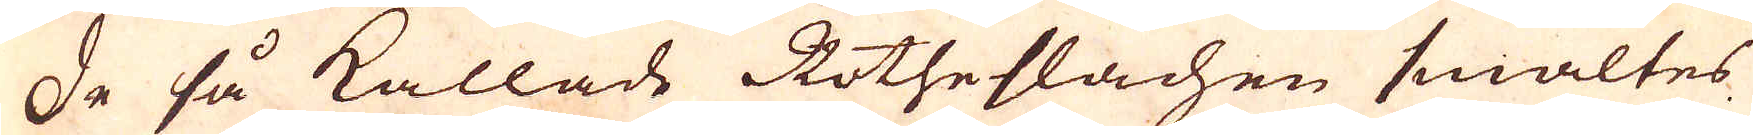De så kallade Rotheslachen smältes
